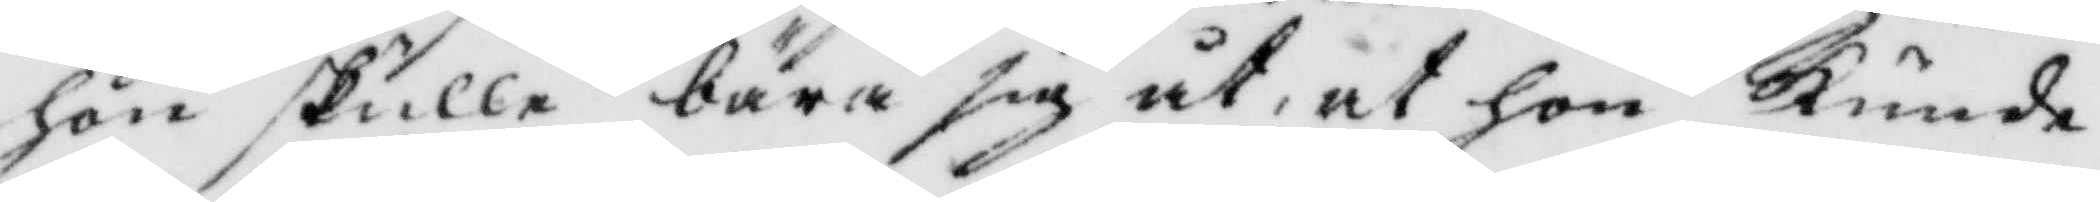hon skulle bära sig åt, at hon kunde
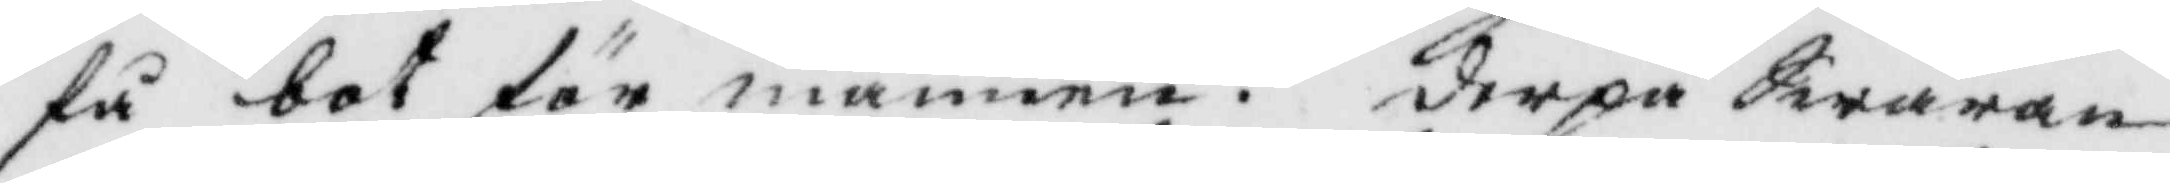få bot för mannen ? derpå Swaran¬
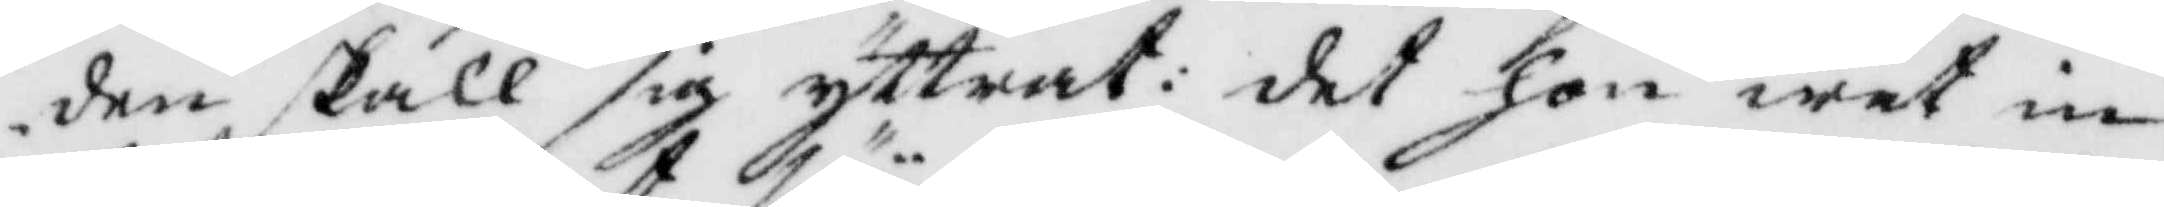den skall sig yttrat: det hon wet in¬
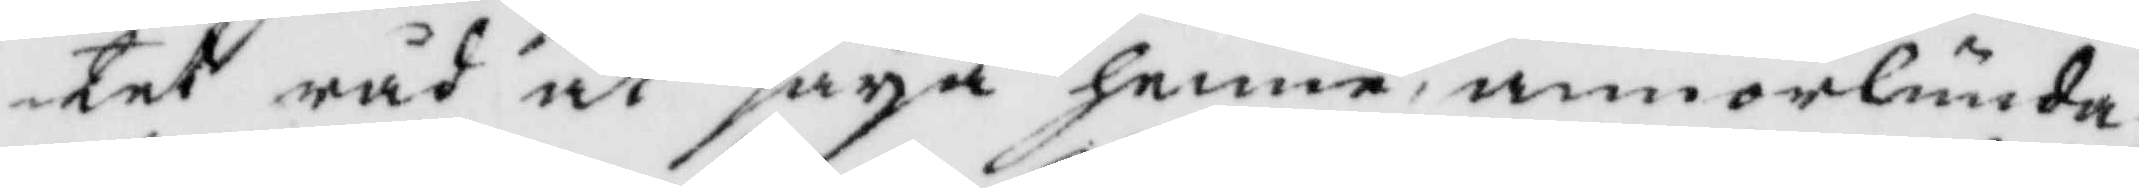tet råd at säya henne, annorlunda
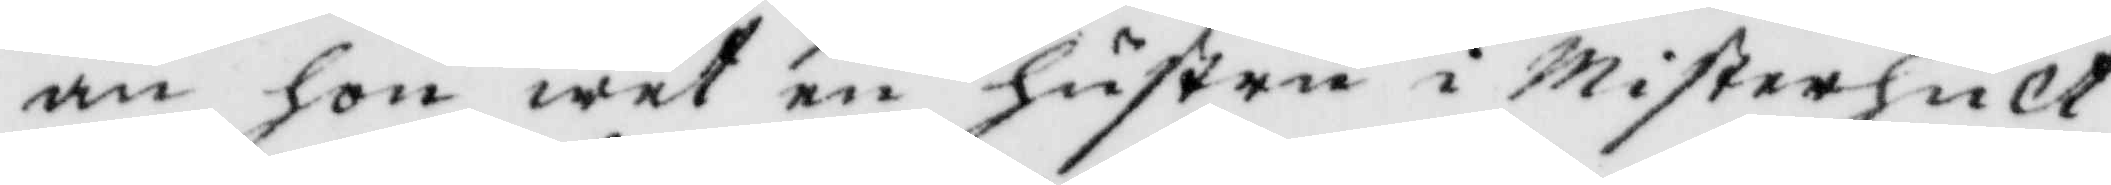än hon wet en hustru i Misterhult
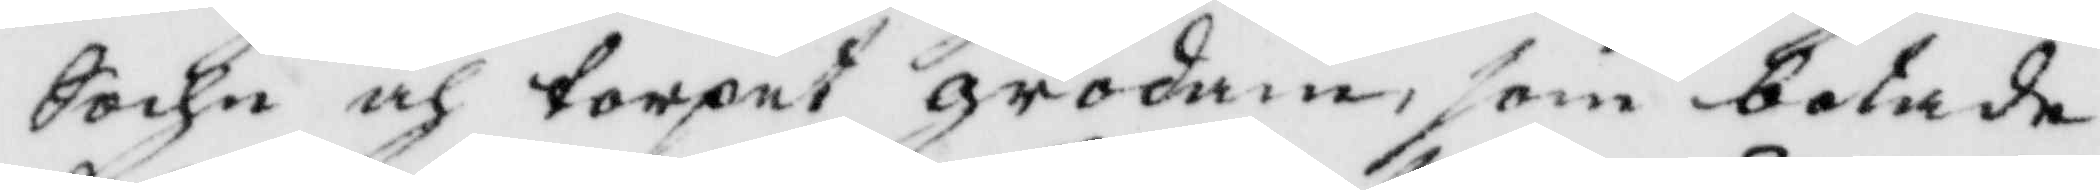Sochn och torpet grodan, som botade
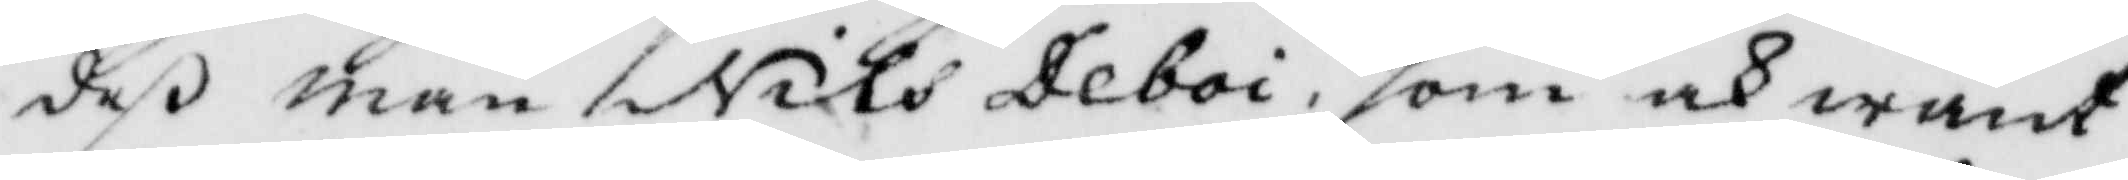deß man Nils Deboi, som och want
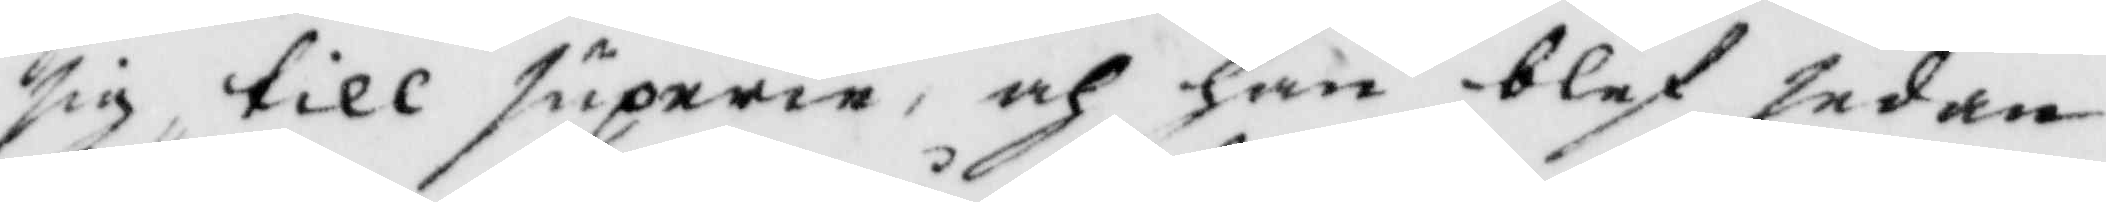sig till superi, och han blef sedan
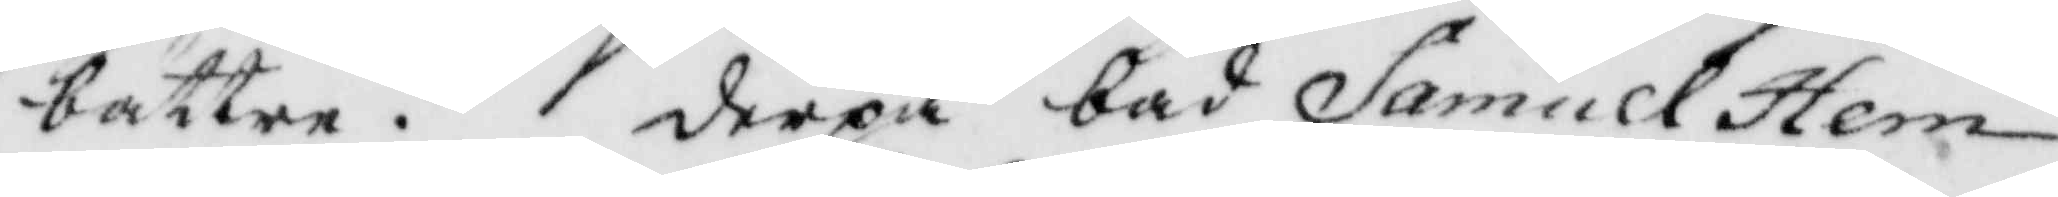bättre. derpå bad Samuel Hem¬
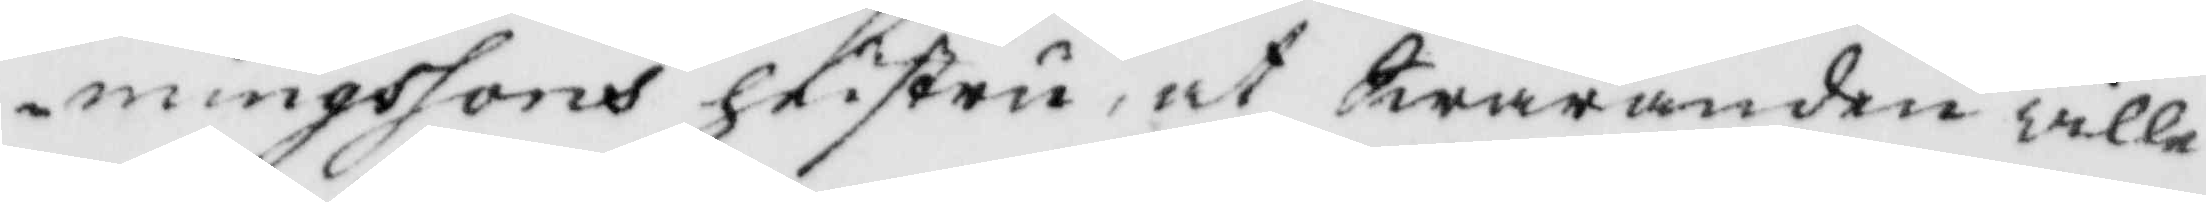mingssons hustru, at Swaranden wille
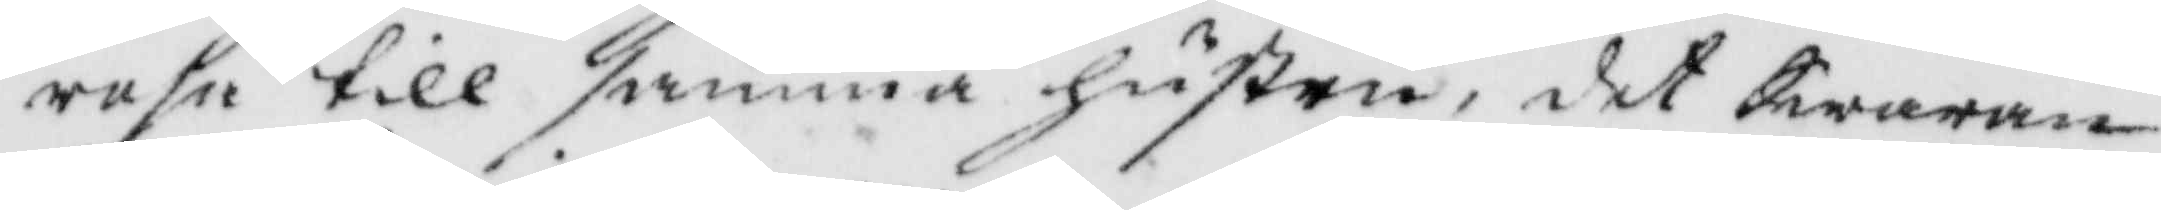resa till samma hustru, det Swaran¬
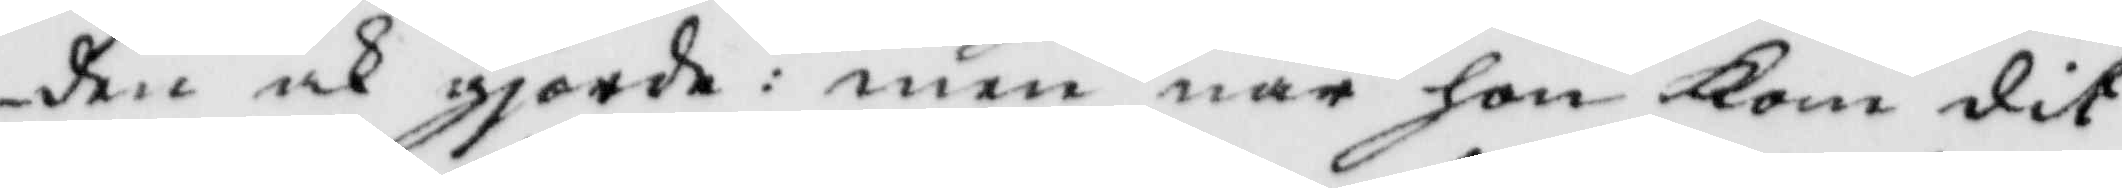den ock giorde: men när hon kom dit
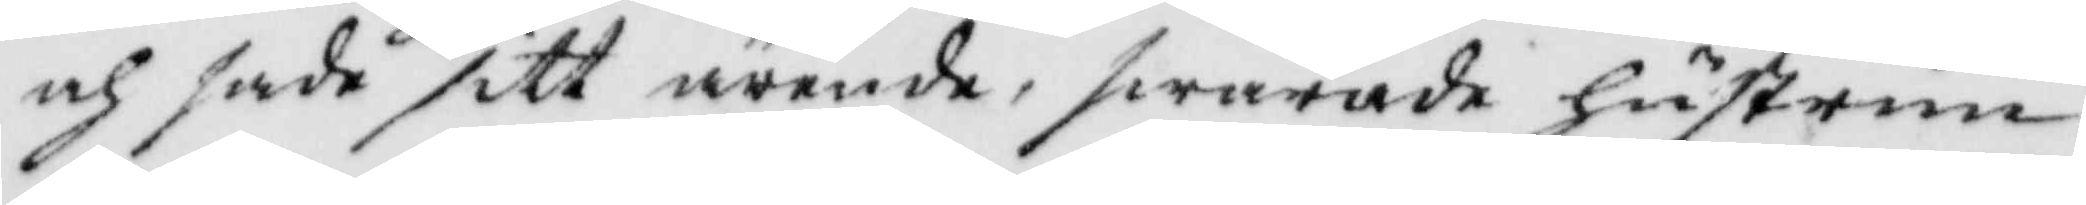och sade sitt ärende, swarade hustrun
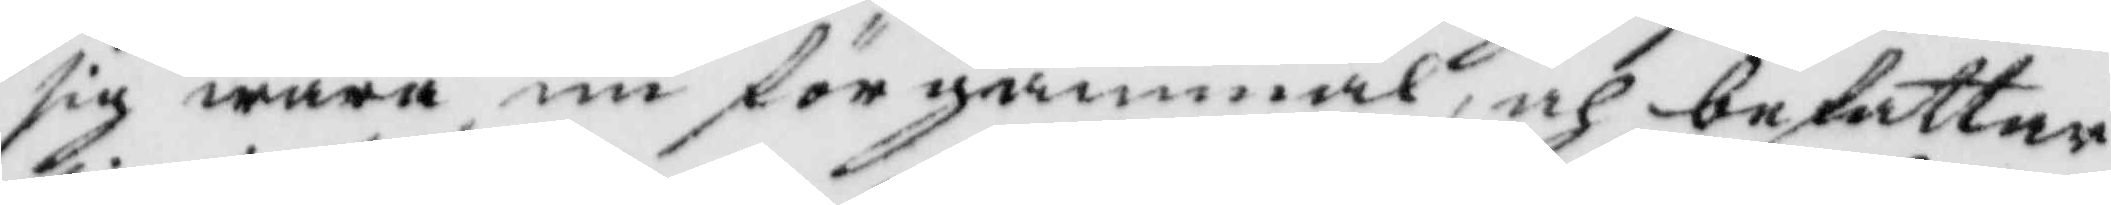sig wara nu för gammal, och befattar
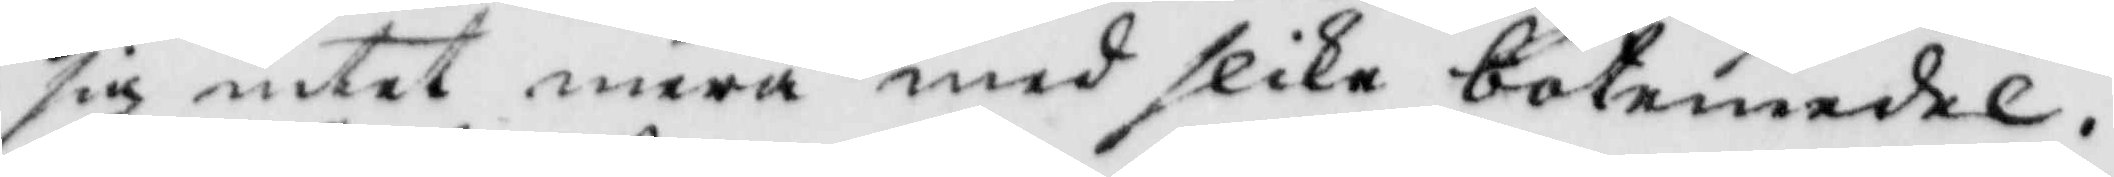sig intet mera med slika botemedel.
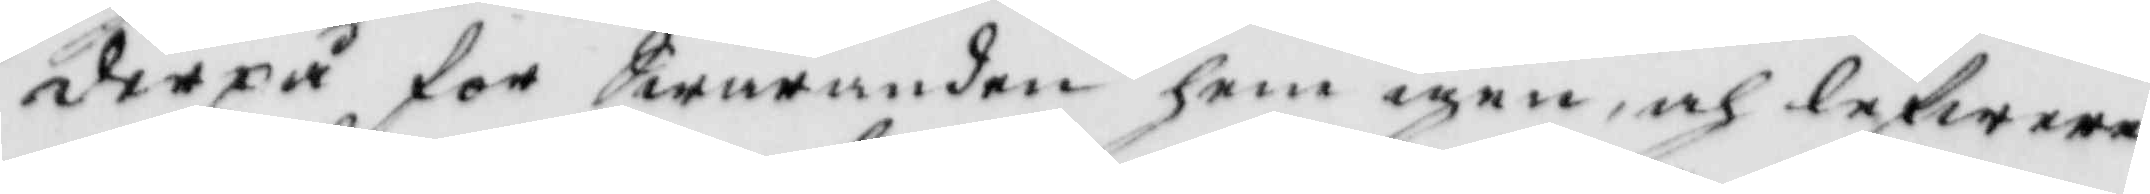derpå för Swaranden hem igen, och lefwere¬
